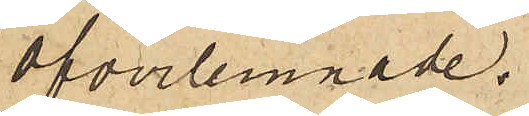öfverlemnade.
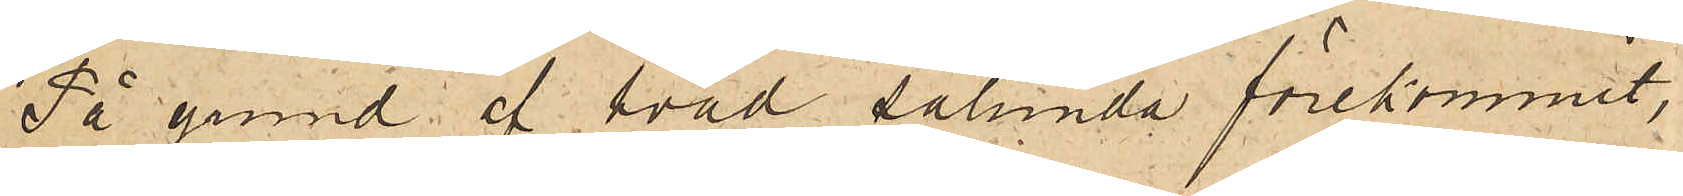På grund af hvad sålunda förekommit,
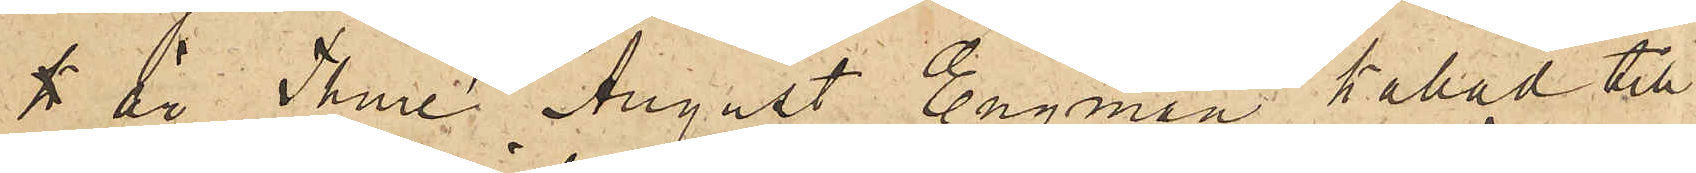 är Thure August Engman kallad till
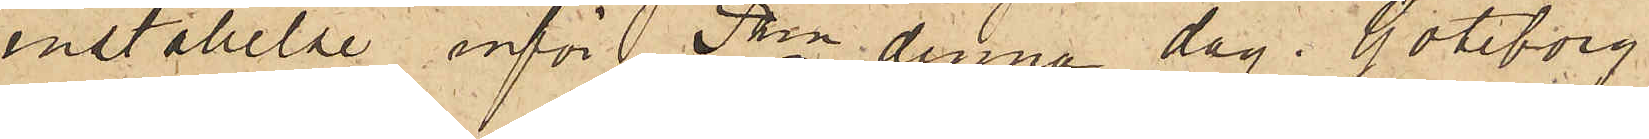inställelse inför Pkn denna dag. Göteborg
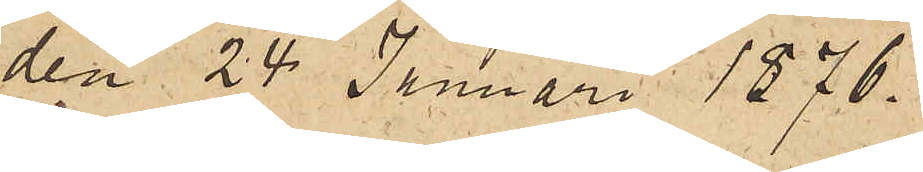den 24 Januari 1876.
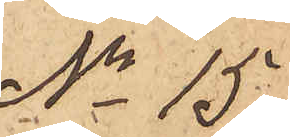No 15
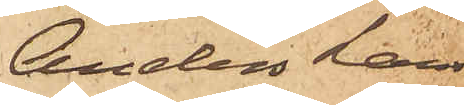Anders Lars¬
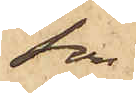son
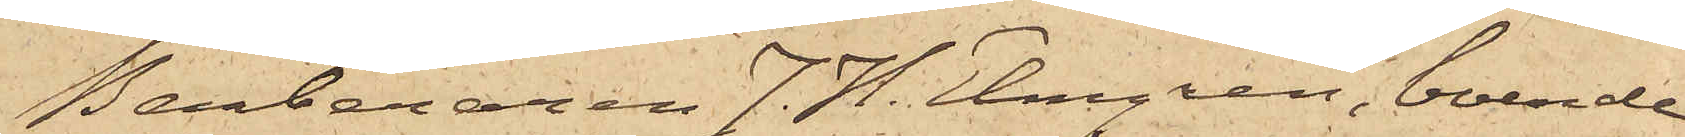Barberaren J. H. Elmgren, boende
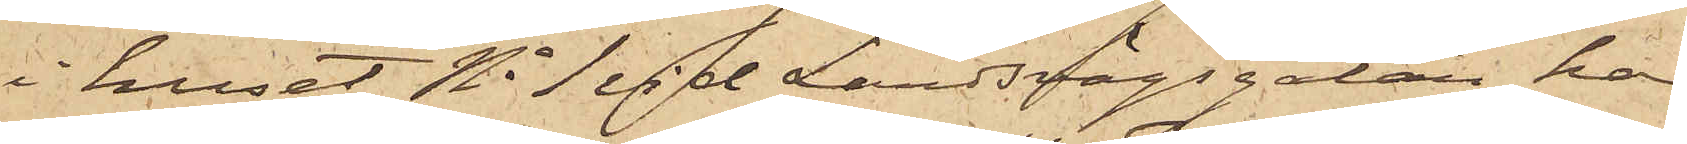i huset No 1 vid Landsvägsgatan, har
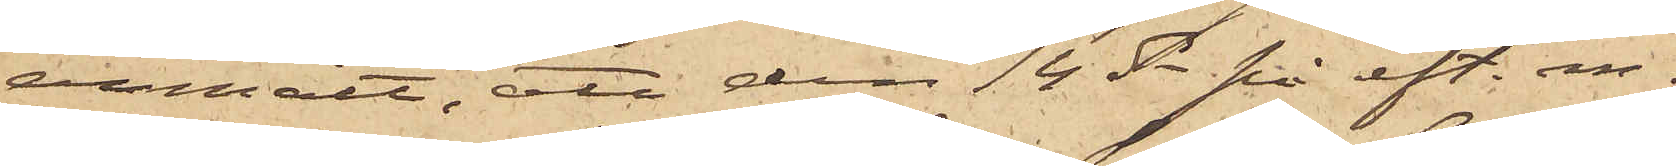anmält, att den 14 ds på eft. m.
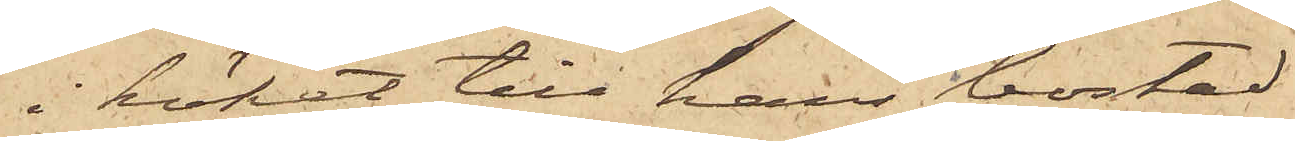i köket till hans bostad
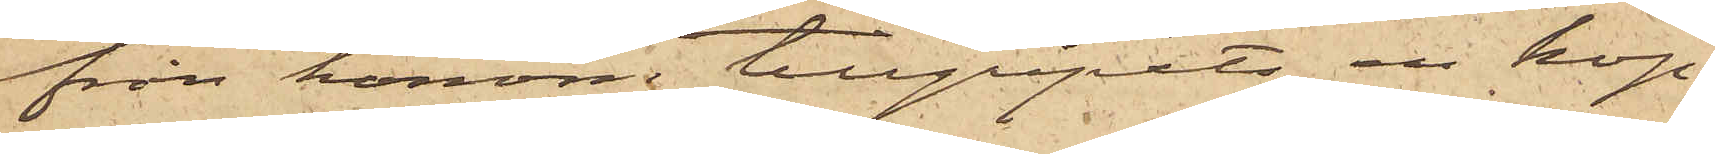från honom tillgripits en kop¬
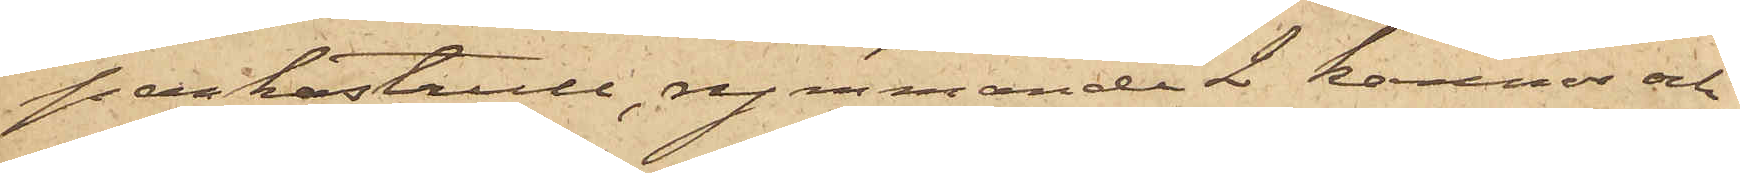parkastrull, rymmande 2 kannor och
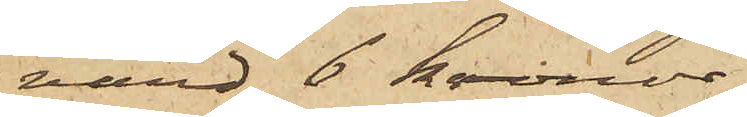värd 6 Kronor.
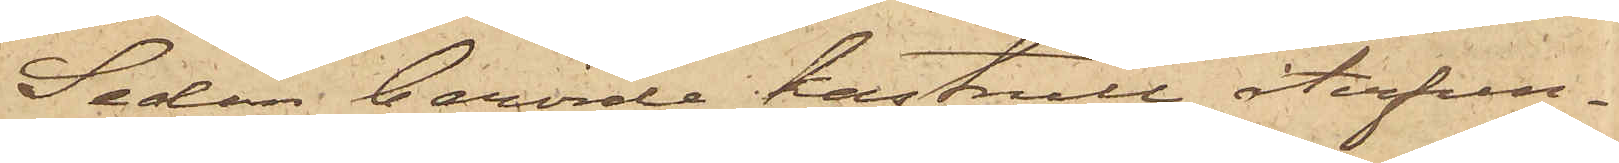Sedan berörde kastrull återfun¬
